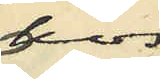hos
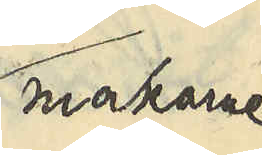makarne
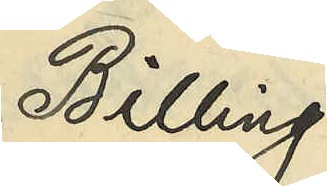Billing
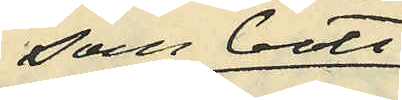som bott
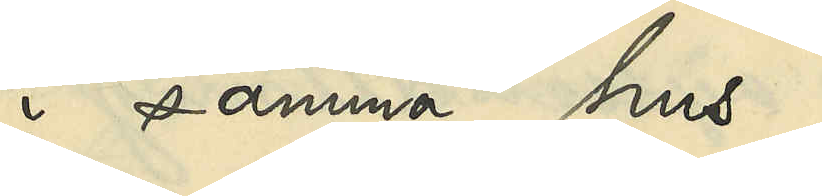i samma hus,
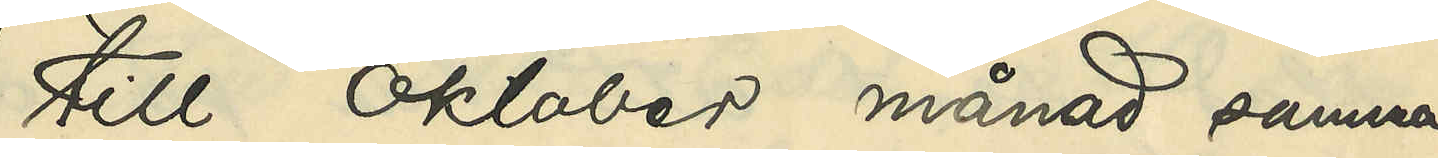till oktober månad samma
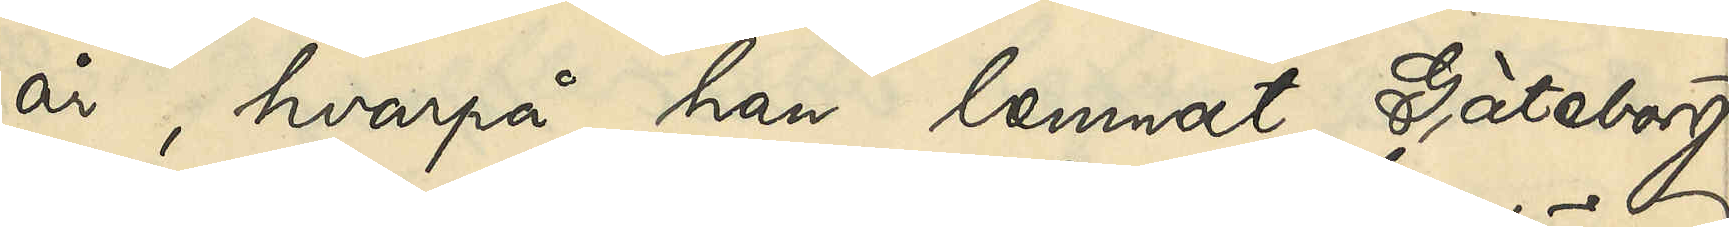år, hvarpå han lemnat Göteborg
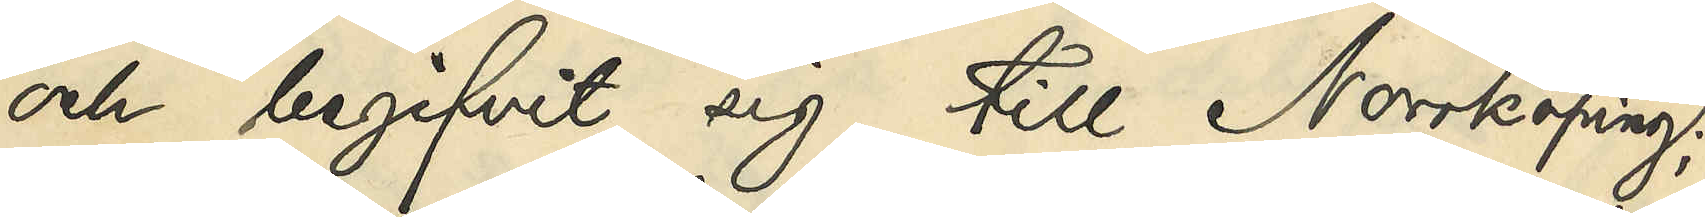och begifvit sig till Norrköping;
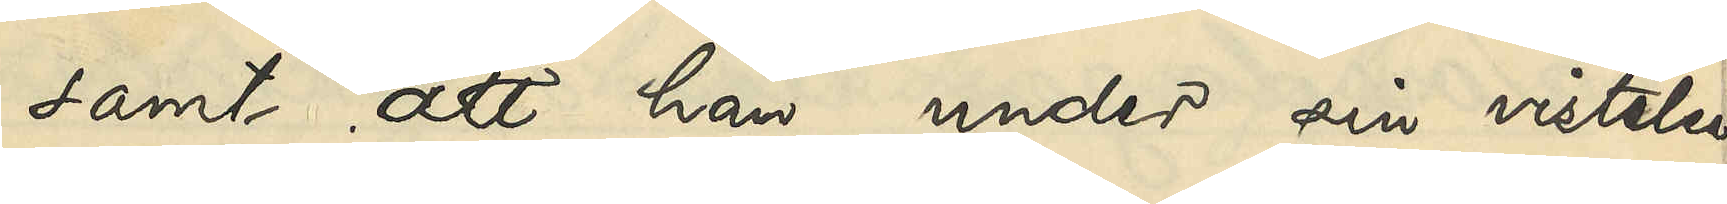samt att han under sin vistelse
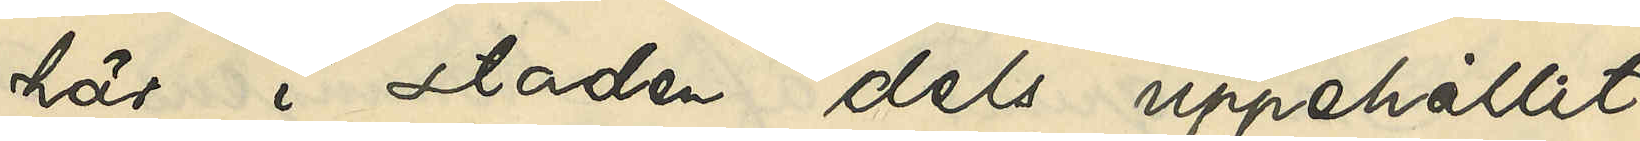här i staden dels uppehållit
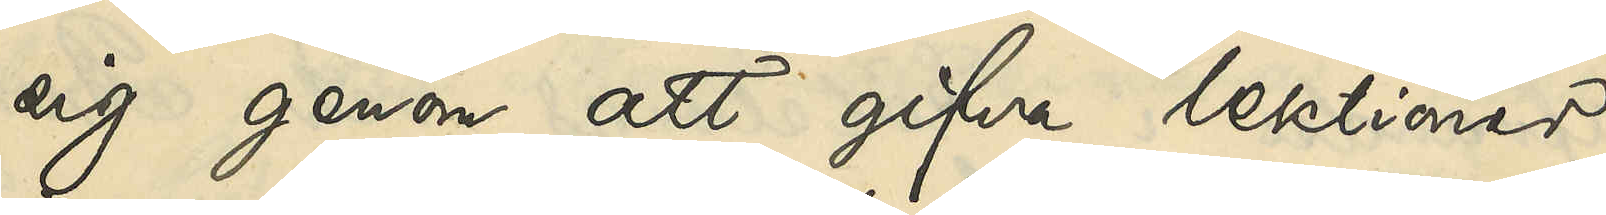sig genom att gifva lektioner
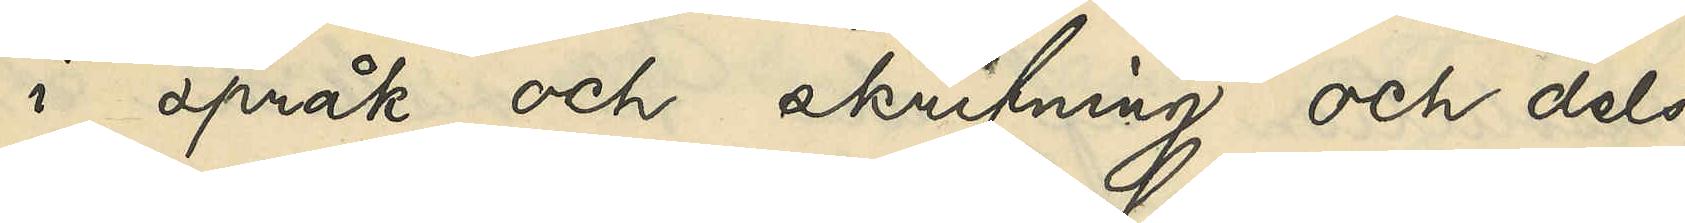i språk och skrifning och dels
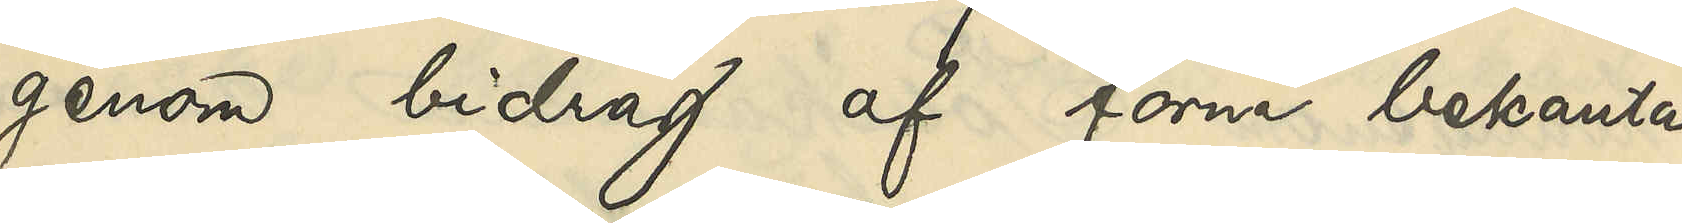genom bidrag af forna bekanta,
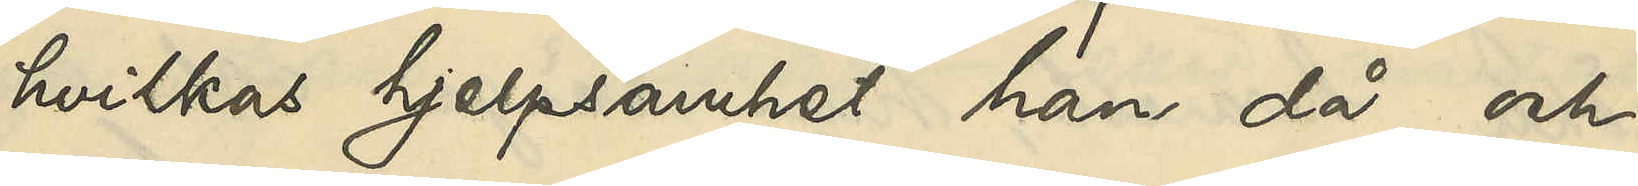hvilkas hjelpsamhet han då och
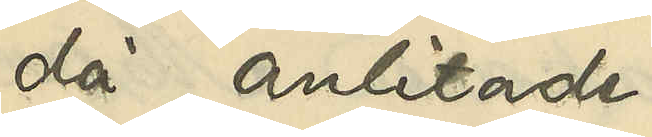då anlitade.
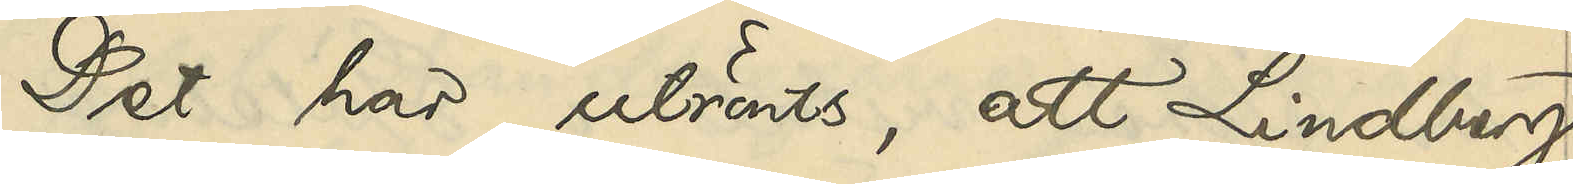Det har utrönts, att Lindberg
